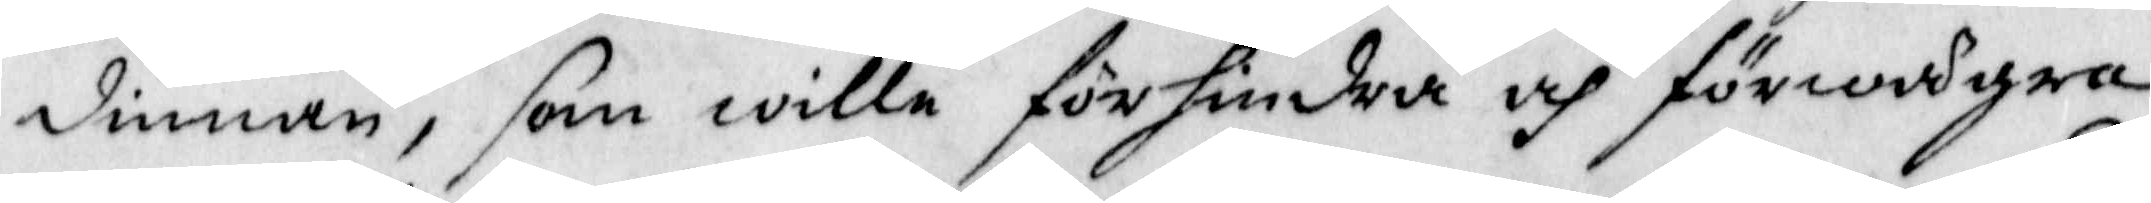dinnan, som wille förhindra och förwägra
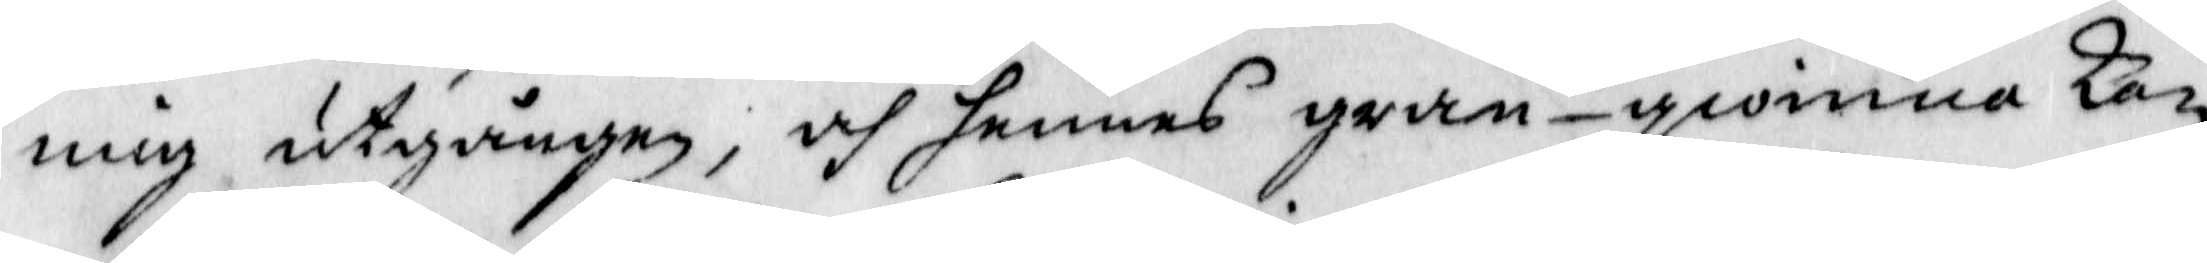mig utgången, och hennes gran-qwinna kan
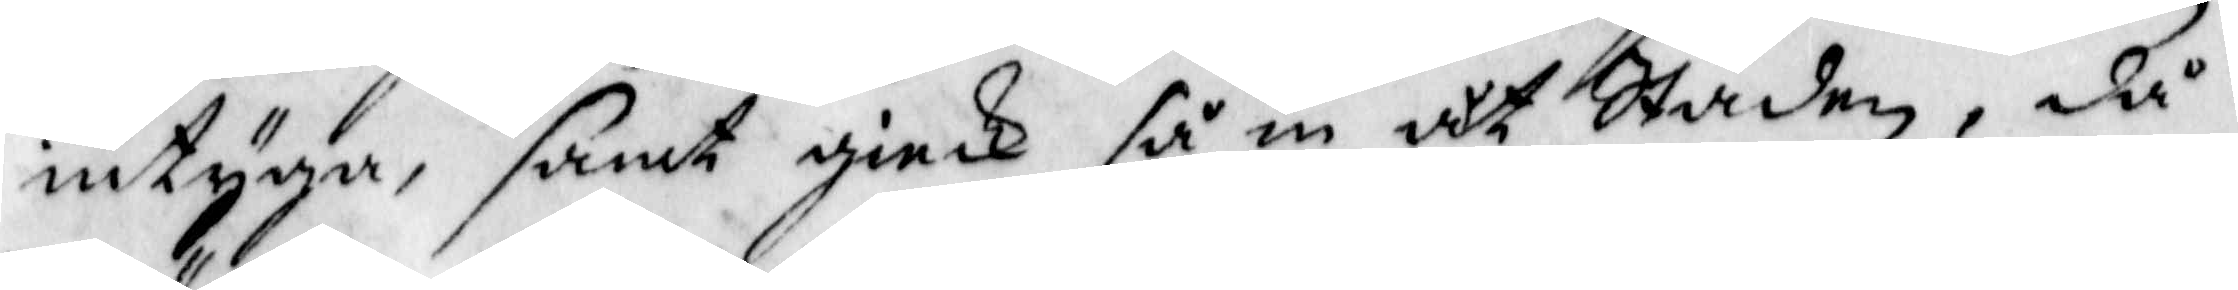intyga. samt giek så in åt Staden, då
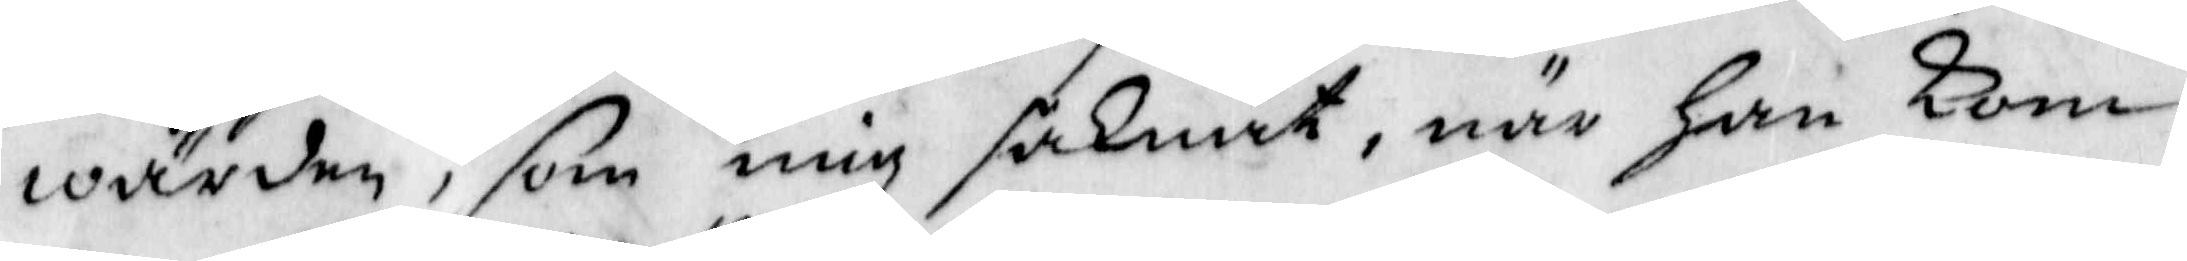wärden, som mig saknat, när han kom
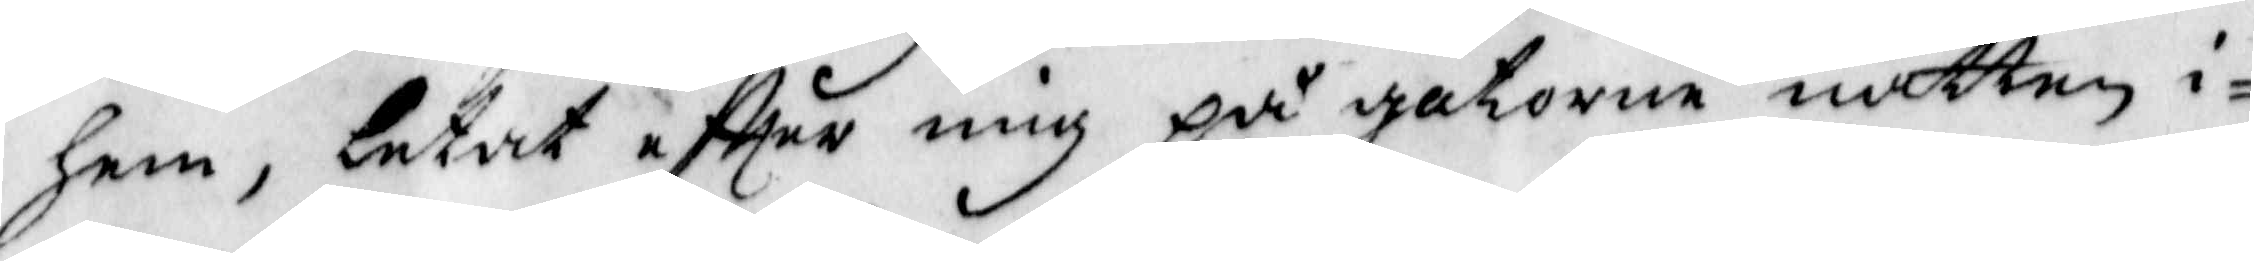hem, letat eftter mig på gatorna natten i¬
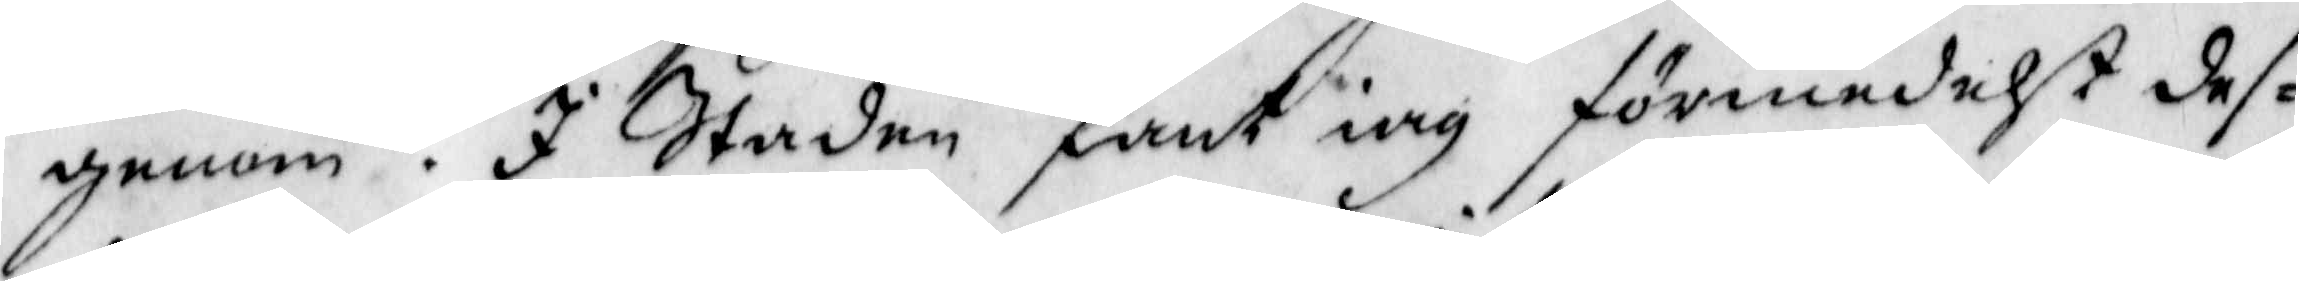genom. I Staden fant iag förmedelst des¬
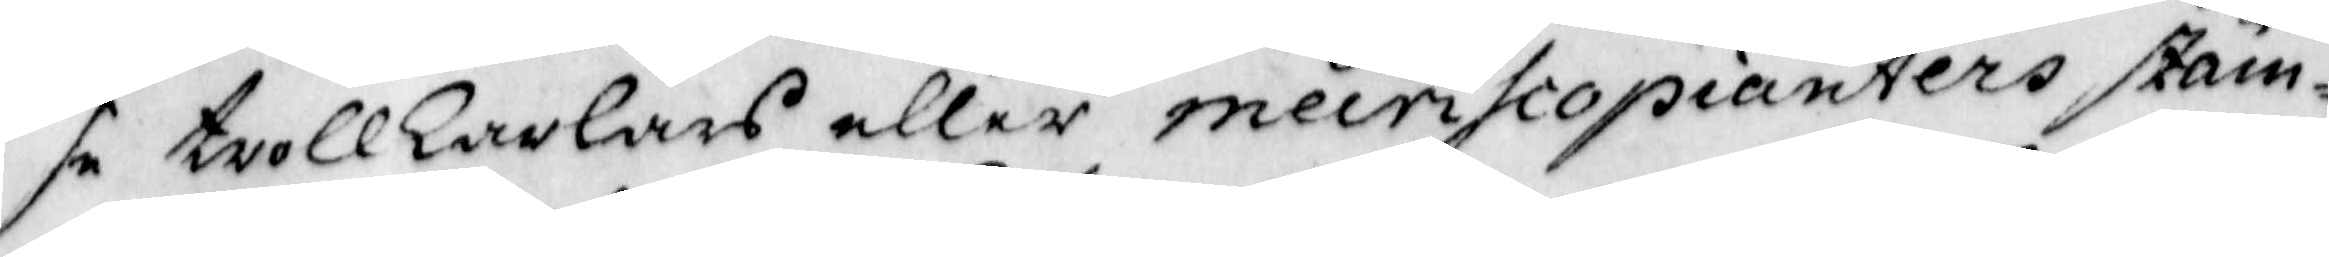se trollkarlars eller mecrihcopianters stäm¬
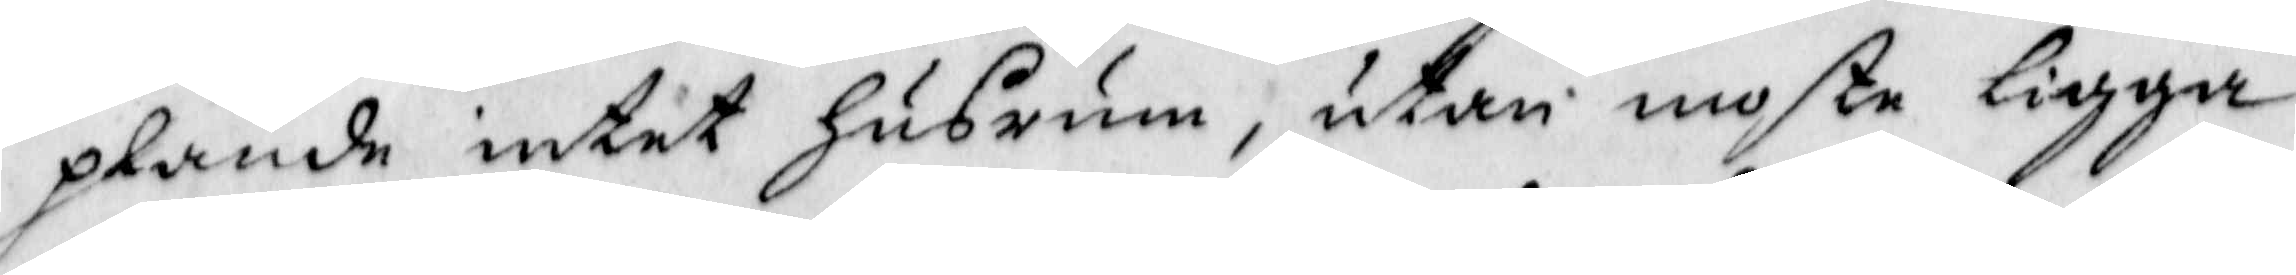plande intet Husrum, utan moste ligga
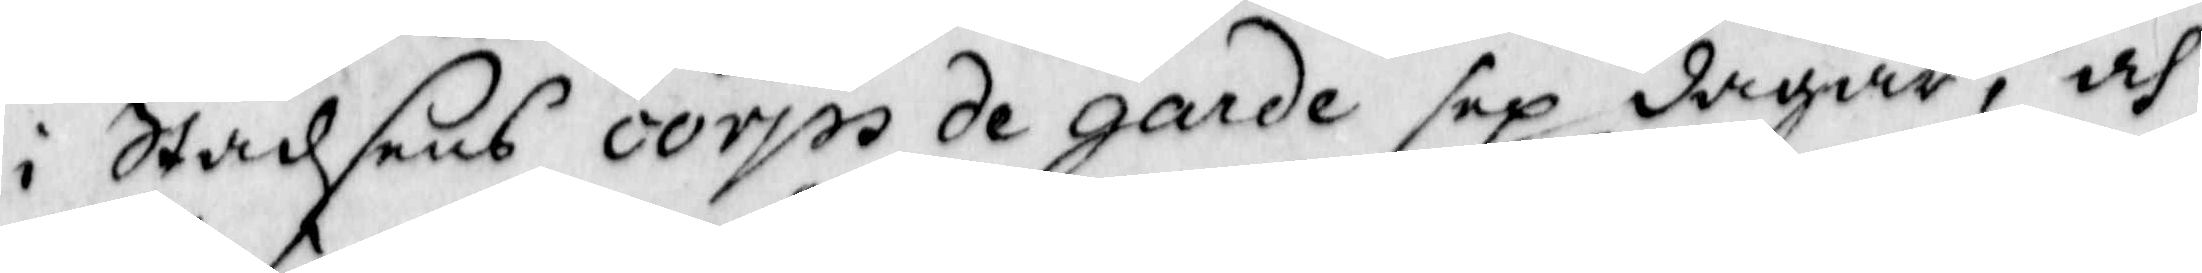i Stadsens corps de garde sex dagar, och
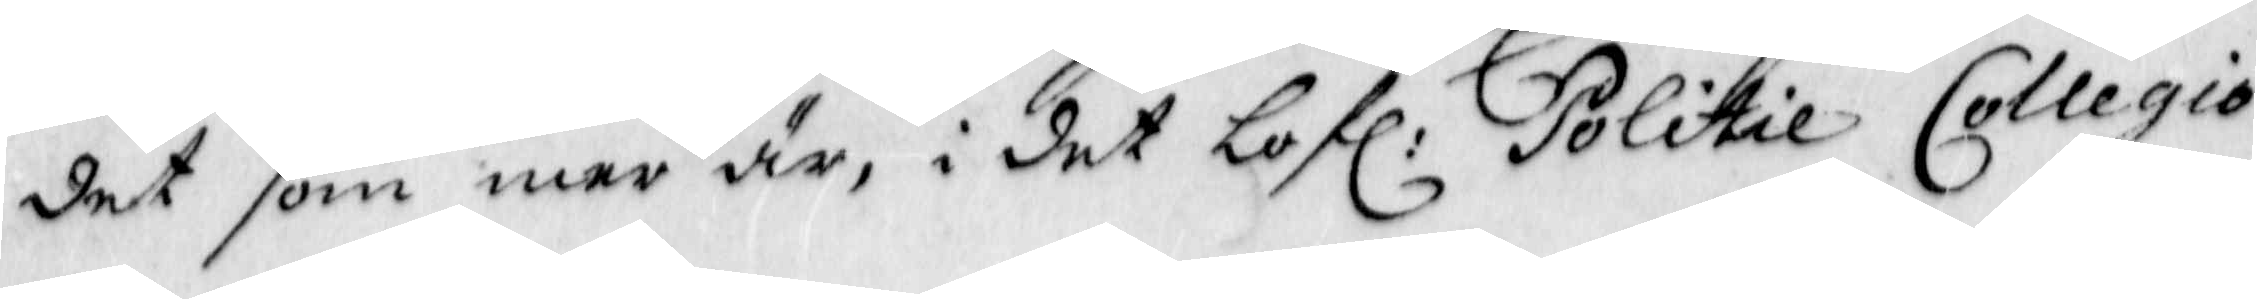det som mer är, i det lofl: Politie Collegio
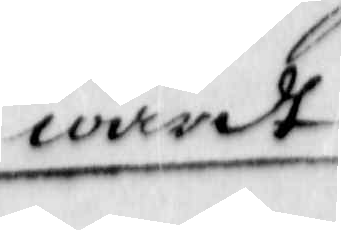wardt
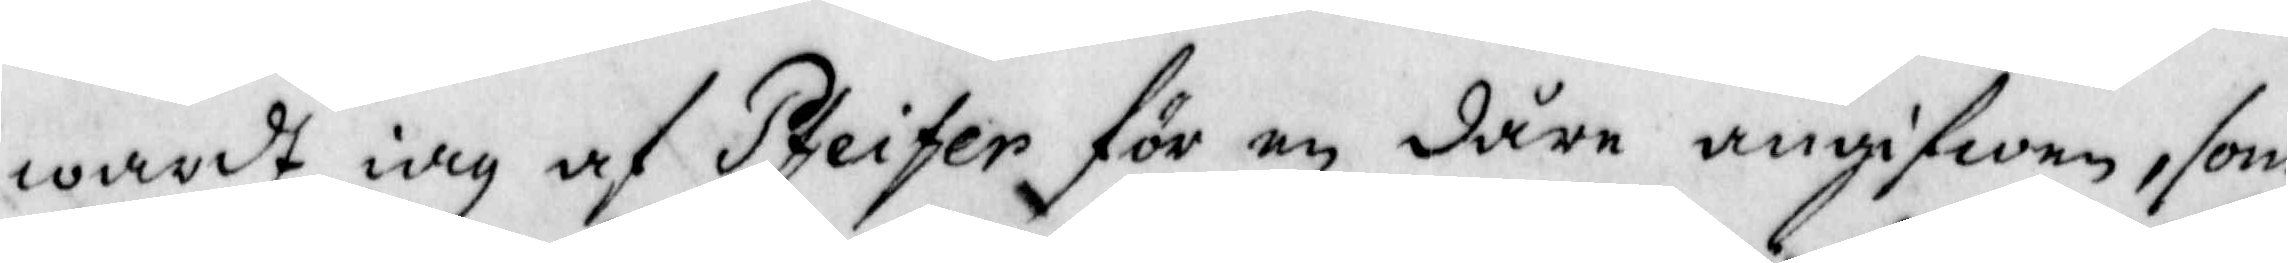wardt iag af Pfeifer för en dåre angifwen, som
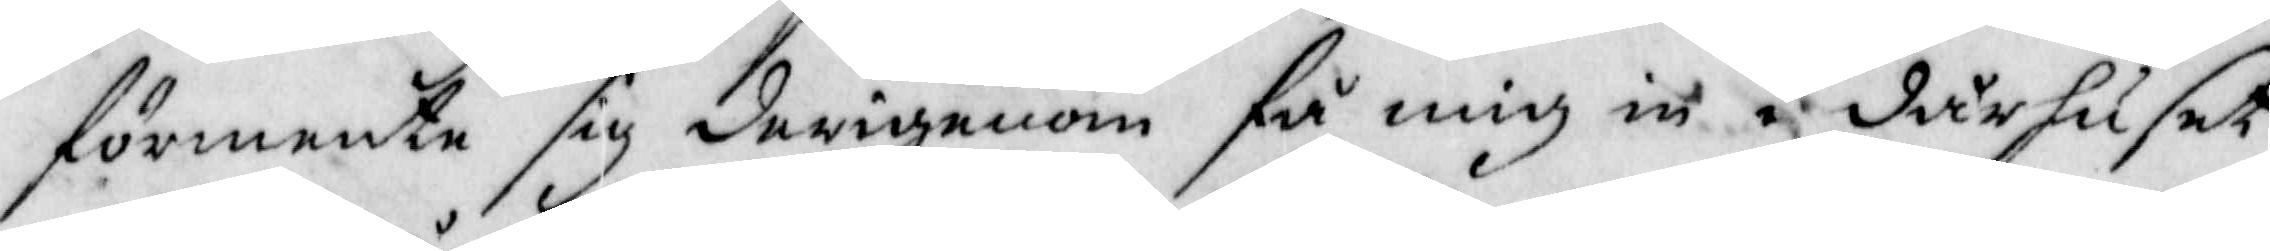förmente sig derigenom få mig in i dårhuset
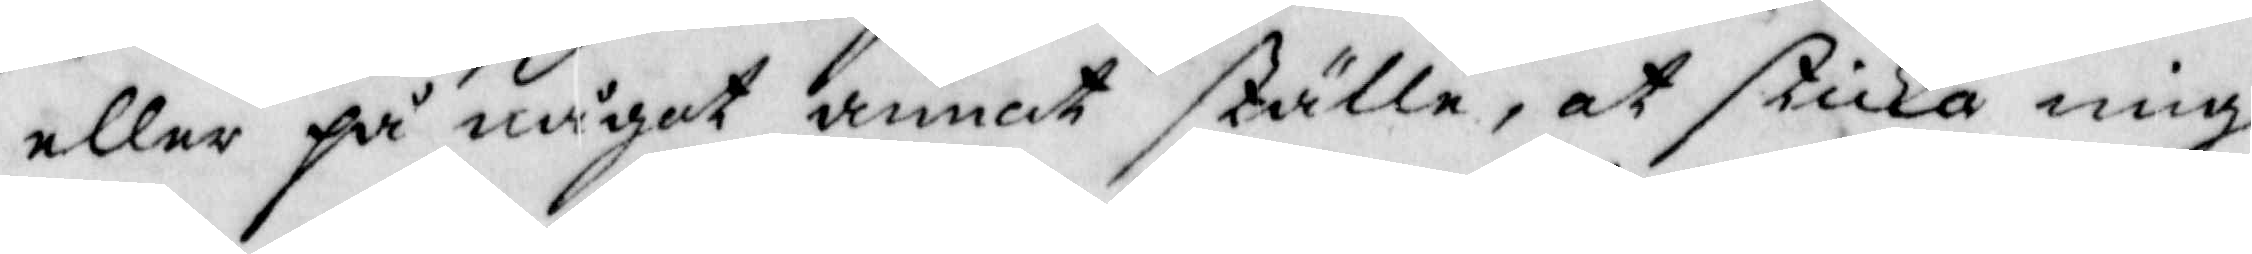eller på något annat ställe, at skika mig
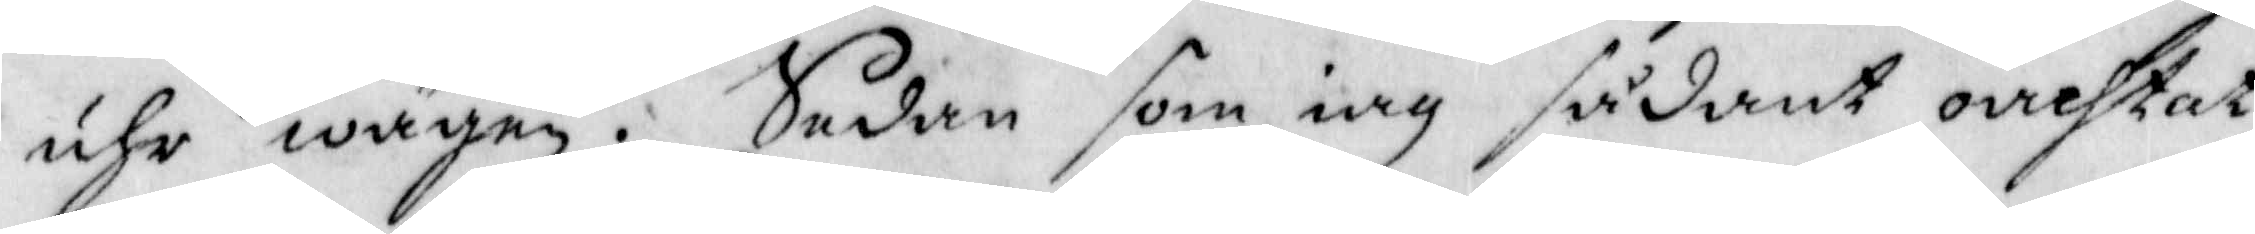uhr wägen. Sedan som iag sådant oachtat
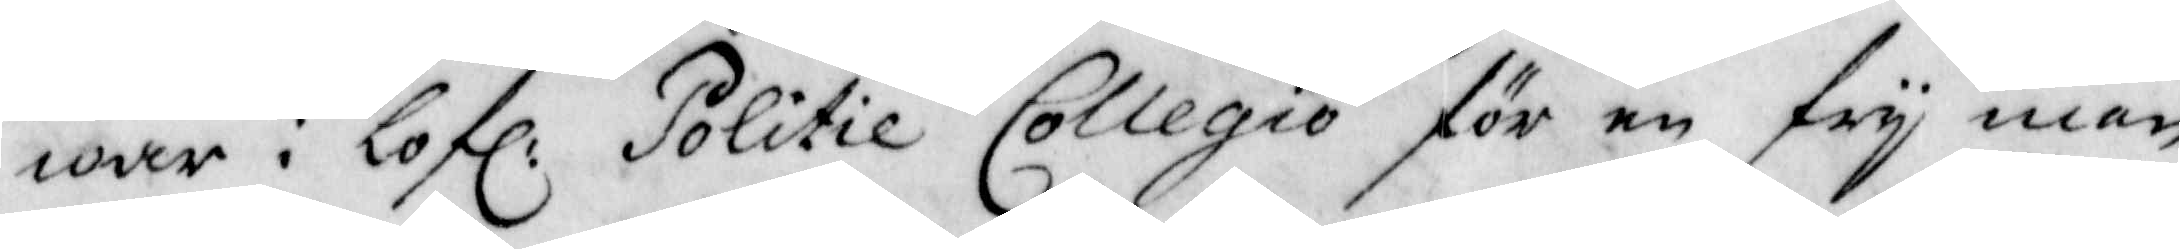war i Lofl: Politie Collegio för en fry man
